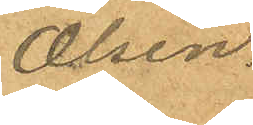Olsen.
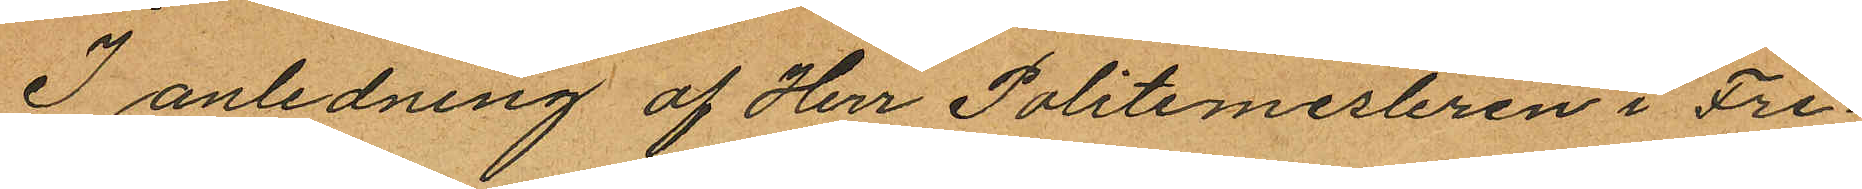I anledning af Herr Politimesteren i Fre¬
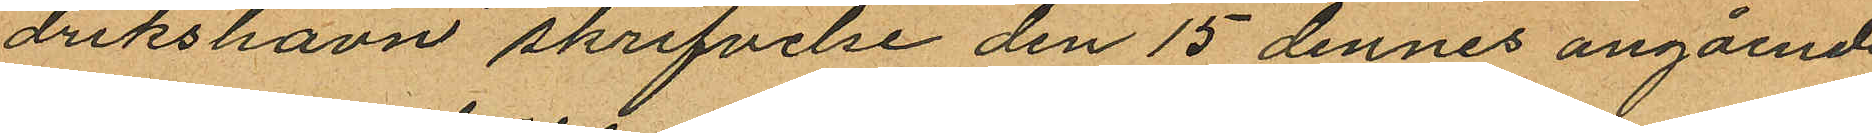drikshavn skrifvelse den 15 dennes angående
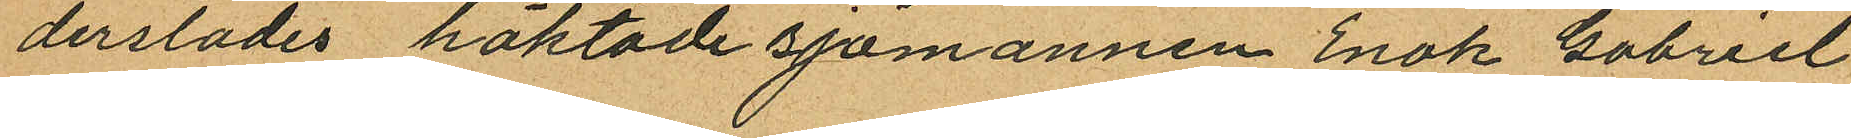derstädes häktade sjömannen Enok Gabriel
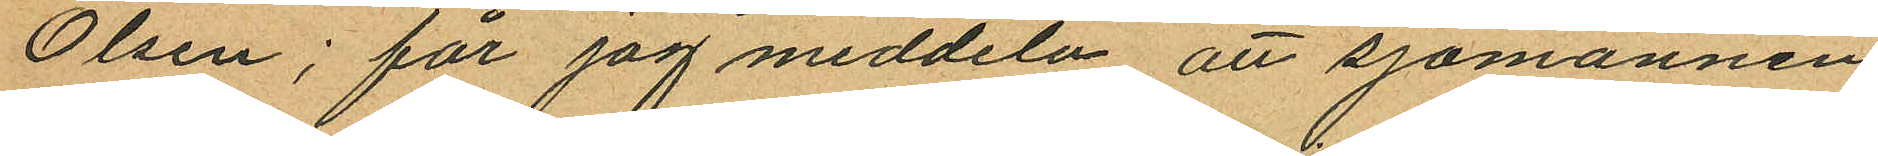Olsen; får jag meddela att sjömannen
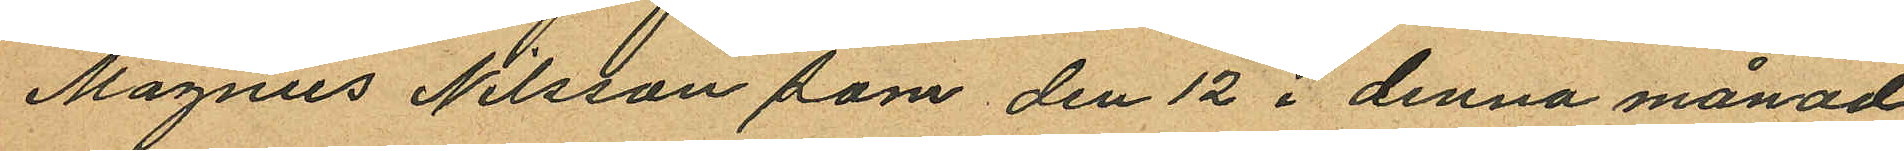Magnus Nilsson som den 12 i denna månad
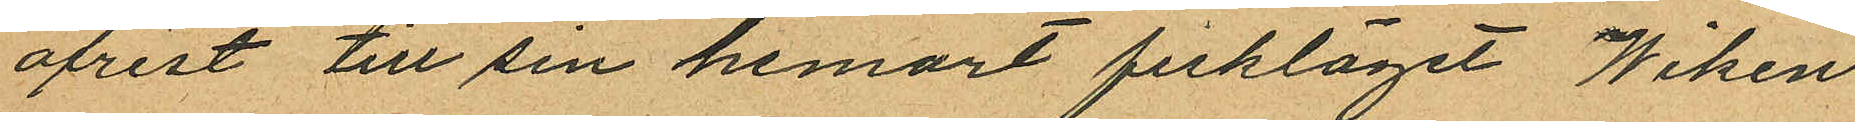afrest till sin hemort fiskläget Wiken
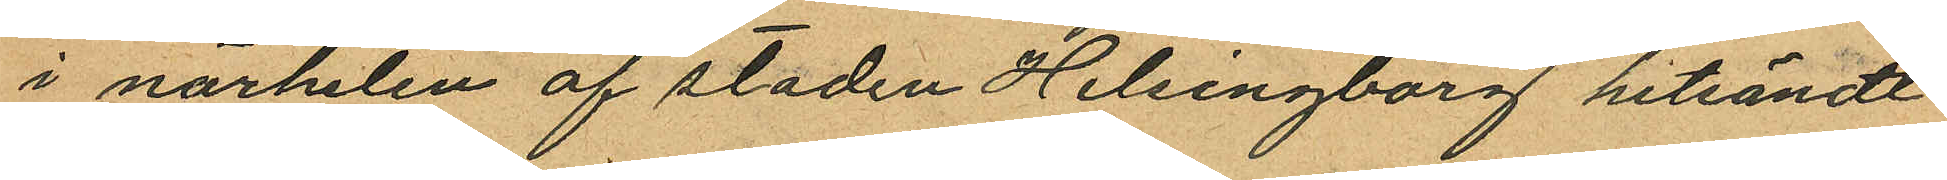i närheten af staden Helsingborg hitsändt
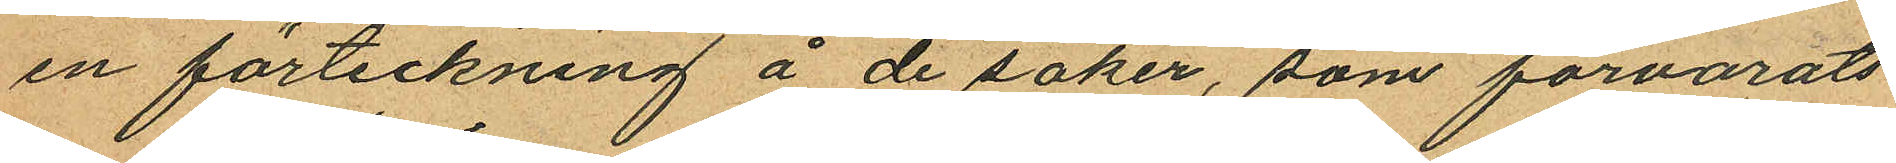en förteckning å de saker, som förvarats
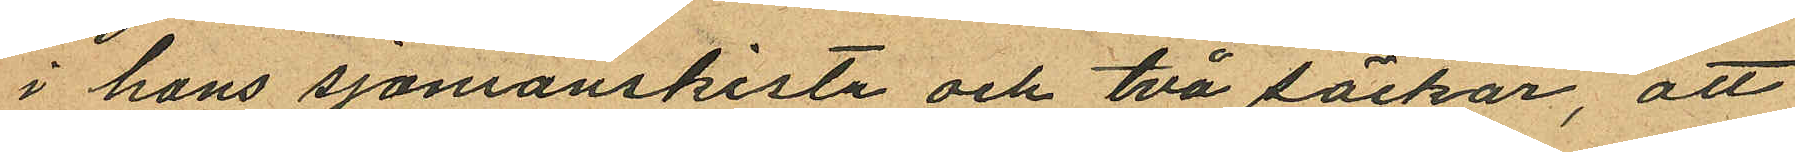i hans sjömanskista och två säckar, att
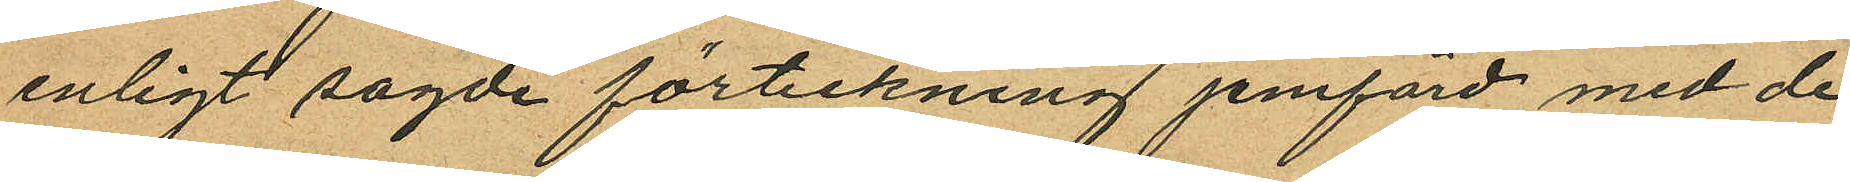enligt sagde förteckning jemförd med de
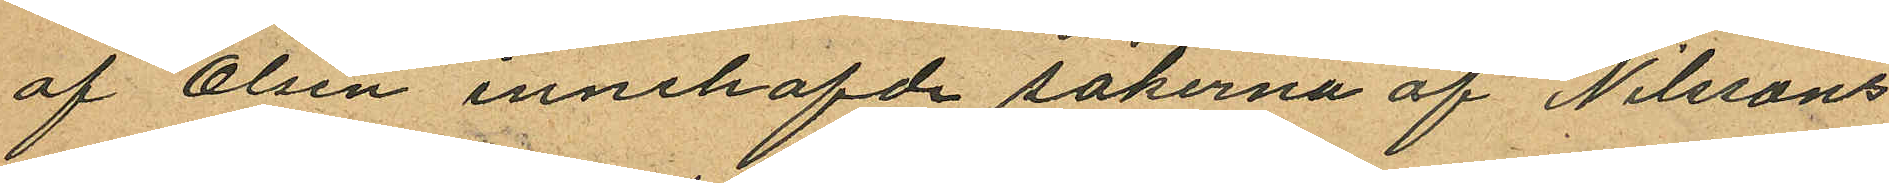af Olsen innehafde sakerna af Nilssons
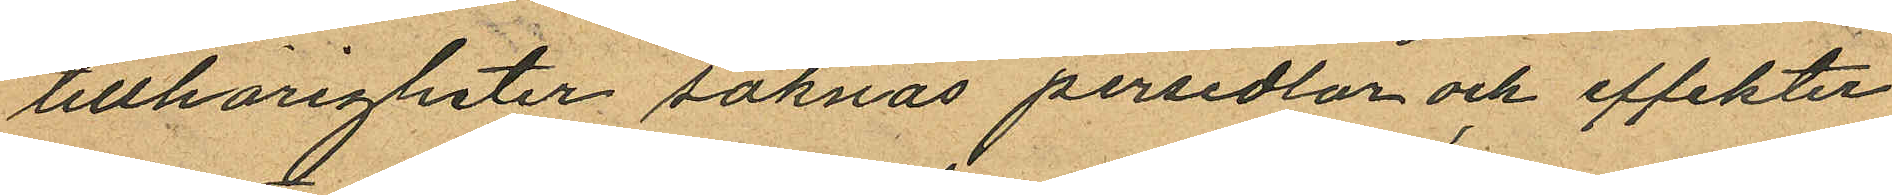tillhörigheter saknas persedlar och effekter
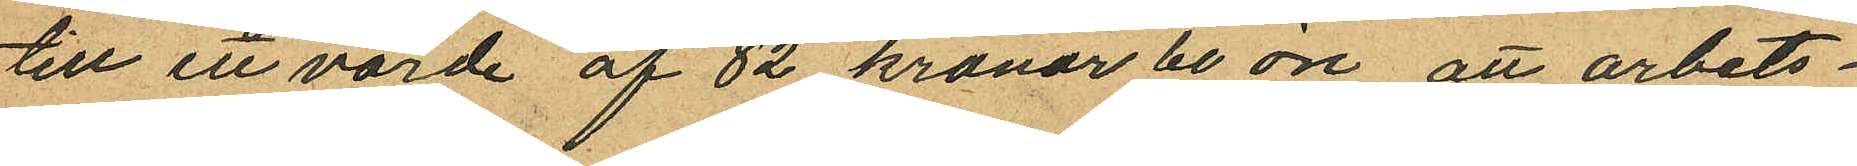till en värde af 82 kronor 60 öre att arbets¬
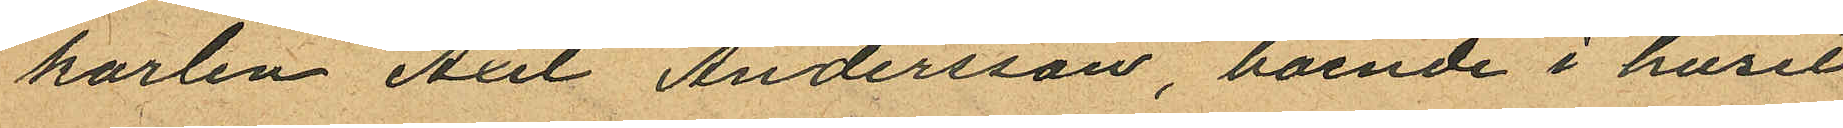karlen Axel Andersson, boende i huset
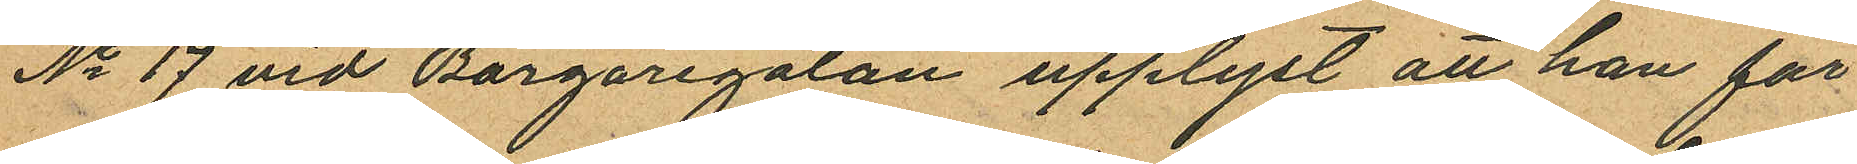No 17 vid Borgaregatan upplyst att han för
